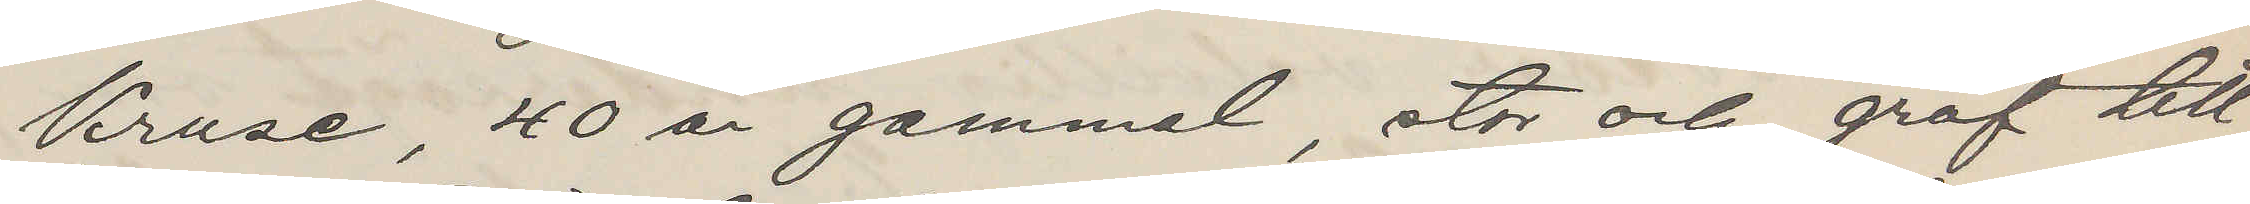Kruse, 40 år gammal, stor och grof till
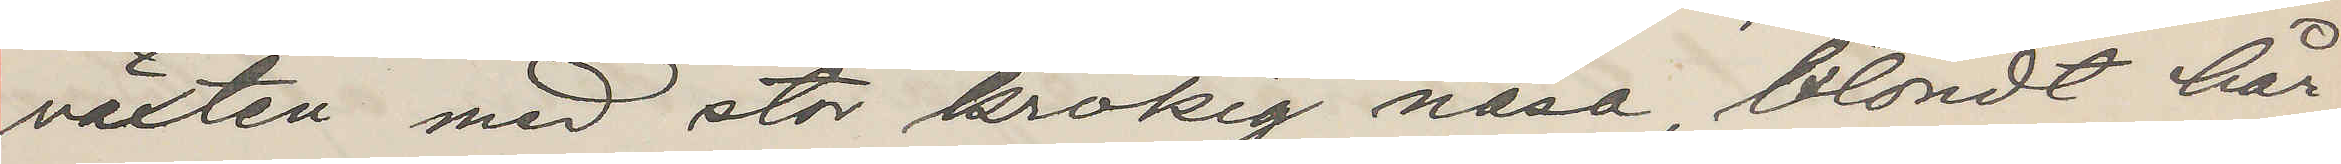växten med stor krokig näsa, blondt hår
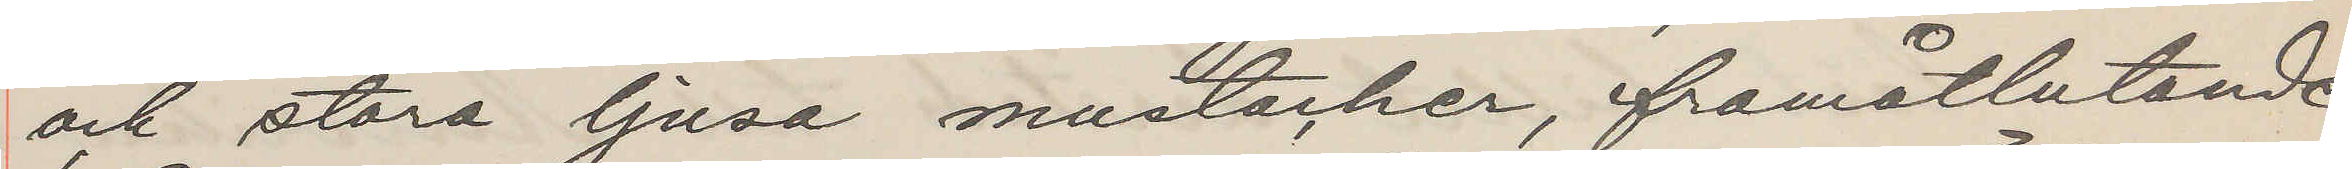och stora ljusa mustacher, framåtlutande
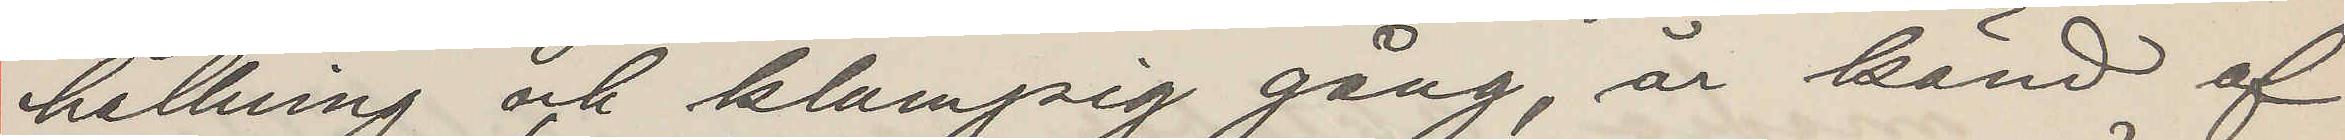hållning och klampig gång, är känd af
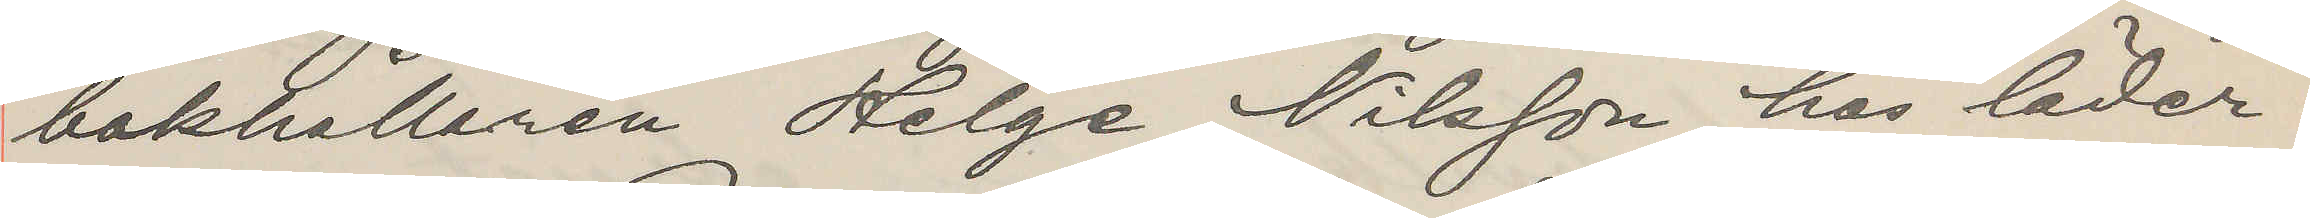bokhållaren Helge Nilsson hos läder¬
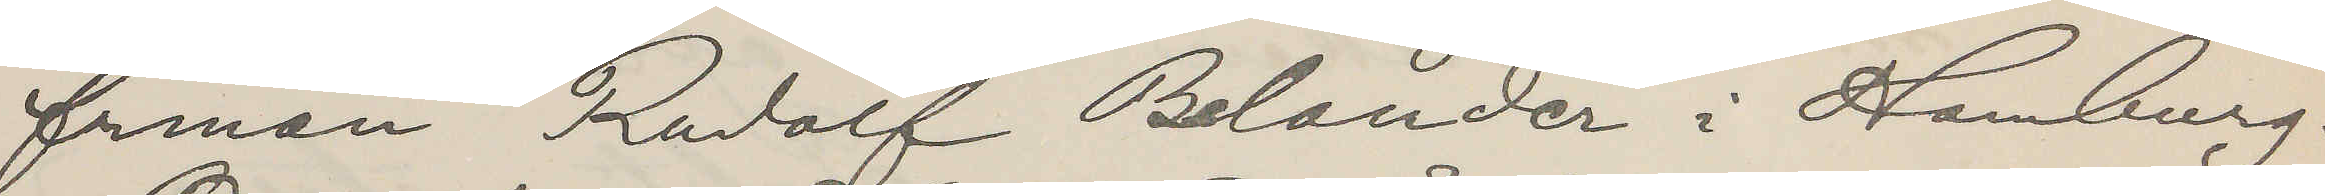firman Rudolf Belander i Hamburg.
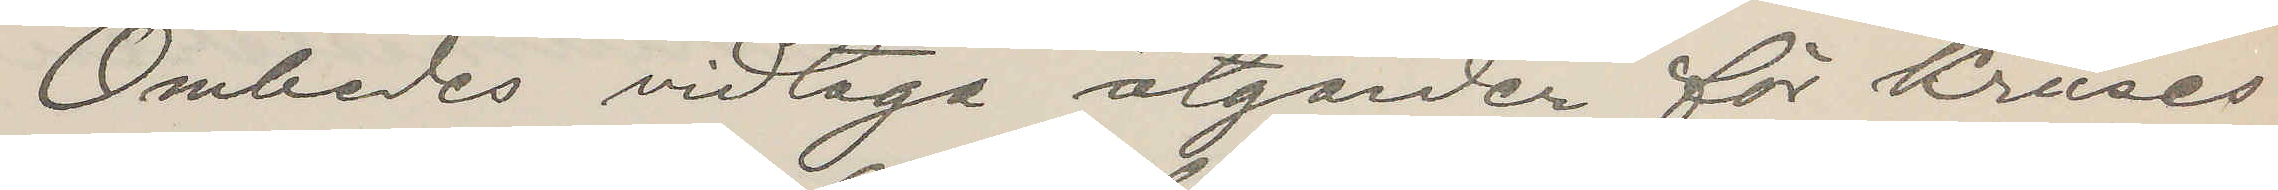Ombedes vidtaga åtgärder för Kruses
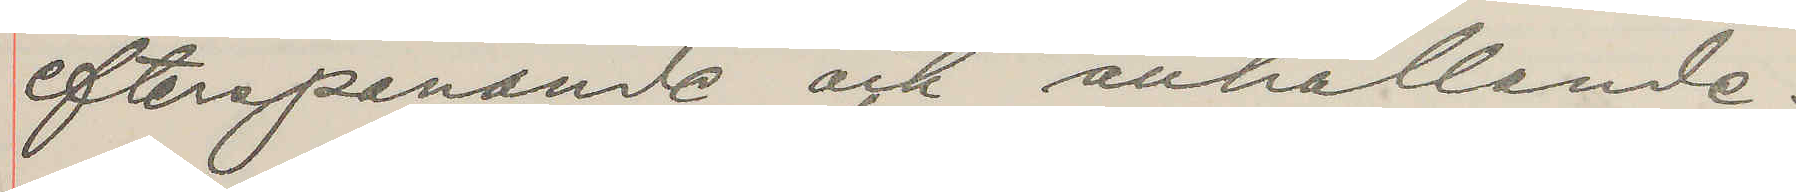efterspanande och anhållande.
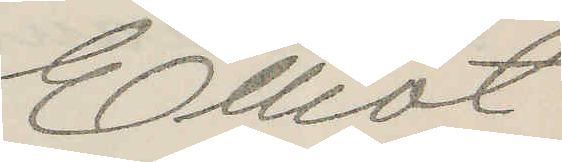Elliot
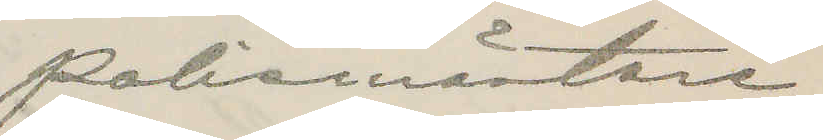Polismästare.
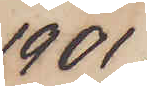1901
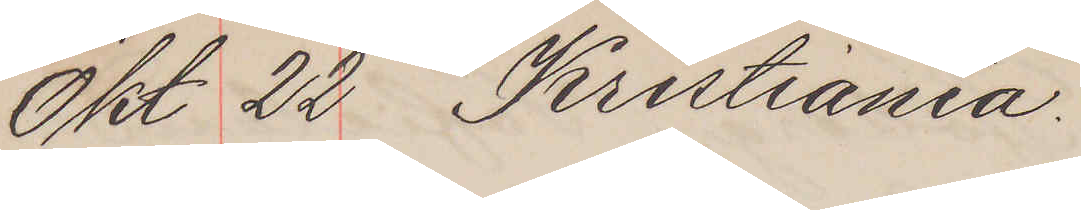Okt 22 Kristiania.
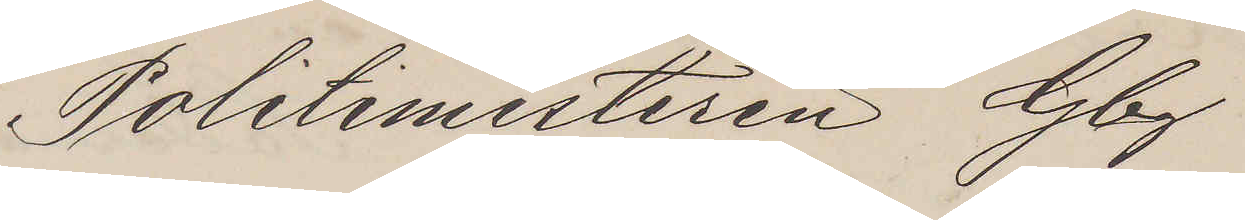Politimesteren Gbg
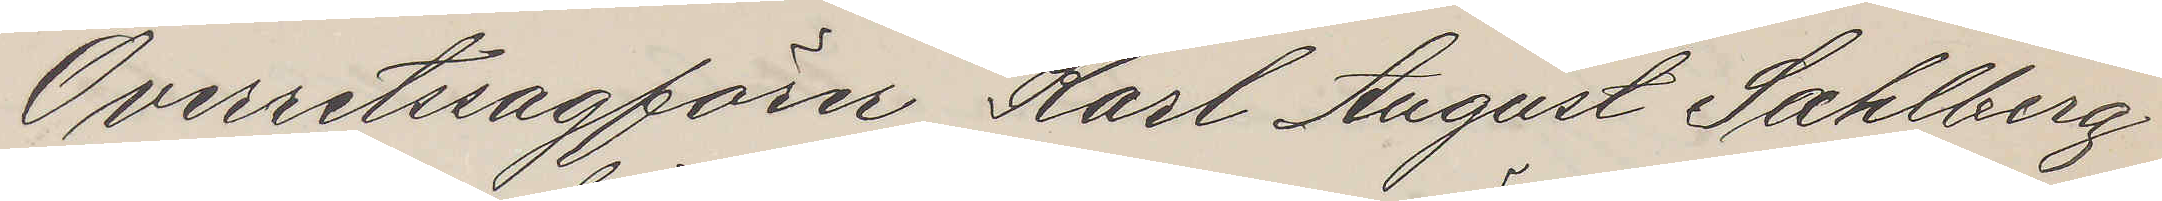Overretssagförer Karl August Sahlberg
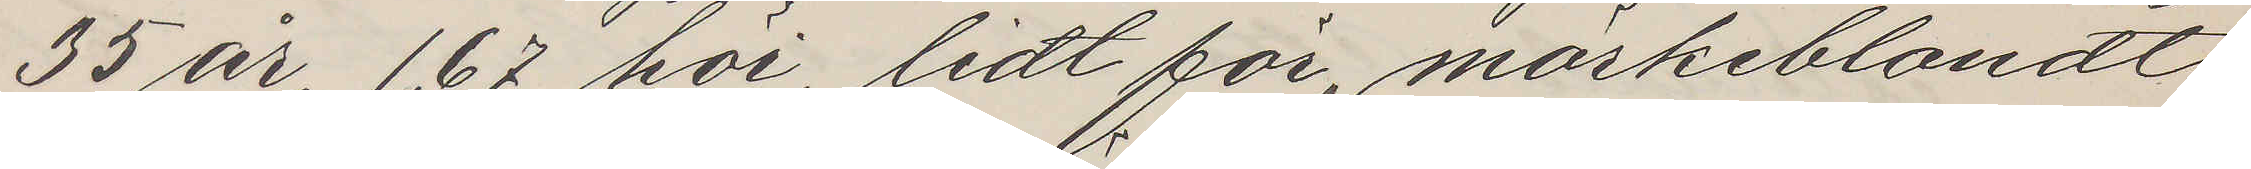35 år, 167 höi, lidt fri, mörkeblondt
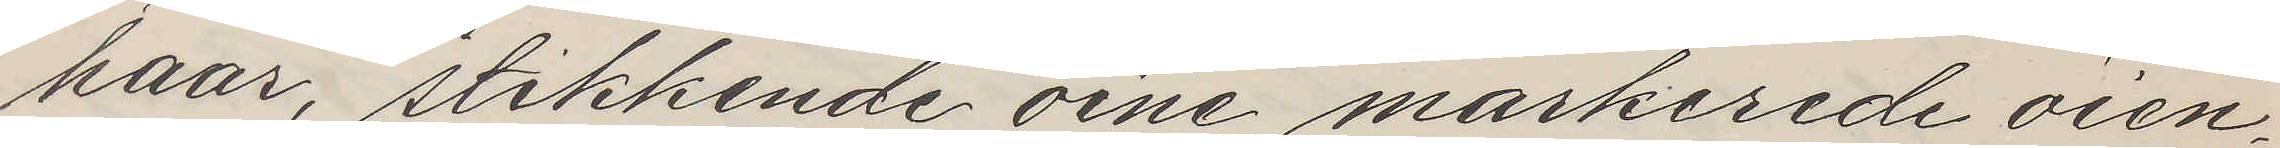haar, stikkende öine, markerede öien¬
